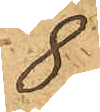8
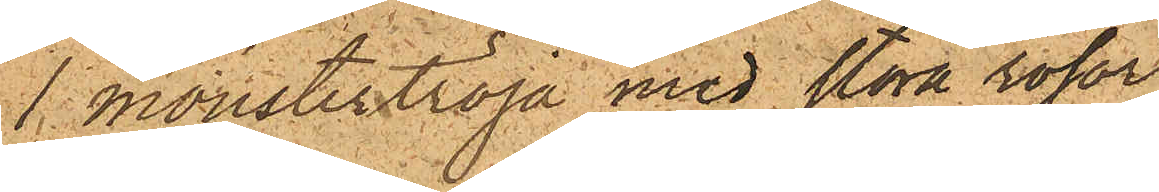1 mönstertröja med stora rosor
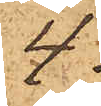4
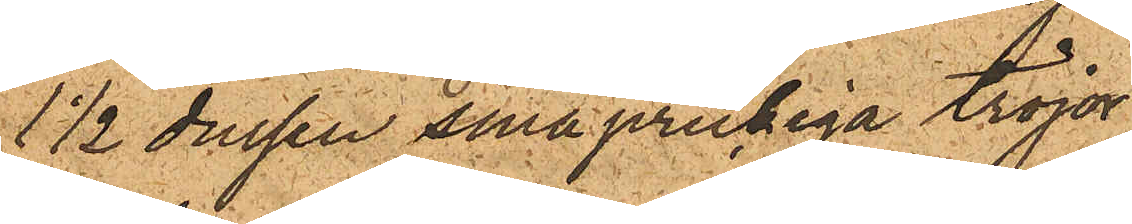1½ dussin småprickiga tröjor
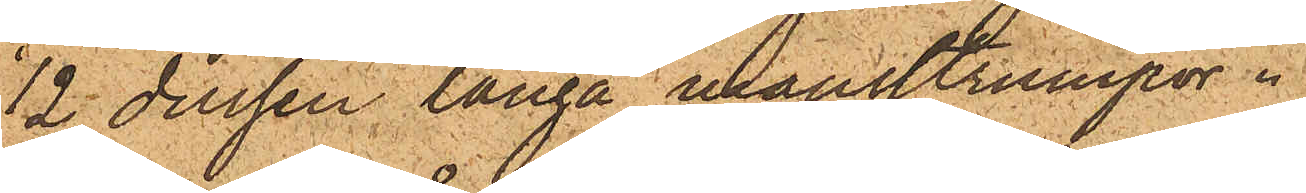12 dussin långa mansstrumpor.
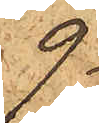9
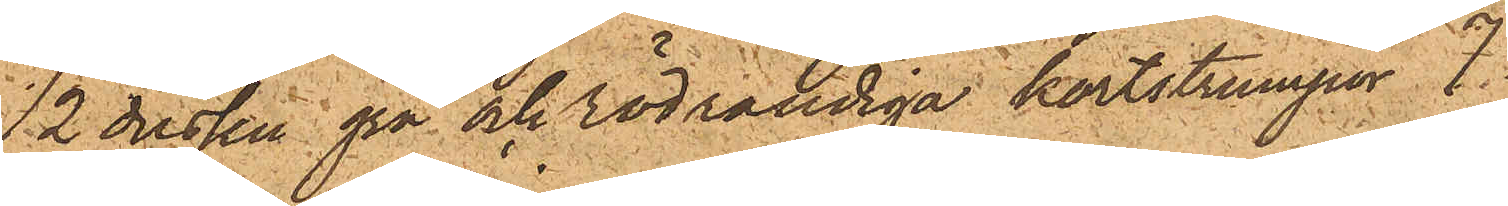12 dussin grå och rödrandiga kortstrumpor 7
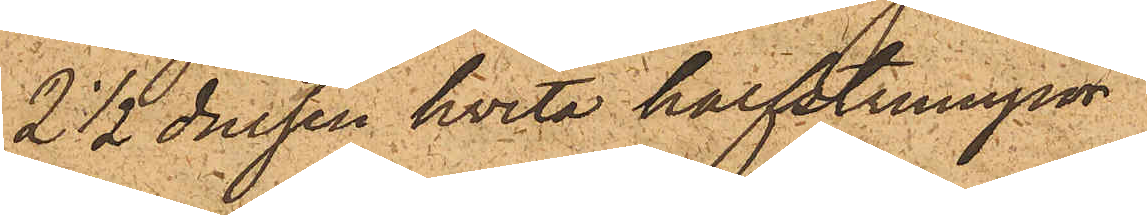2½ dussin hvita halfstrumpor
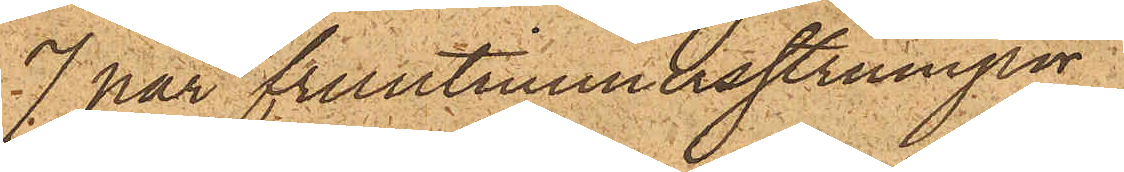7 par fruntimmersstrumpor
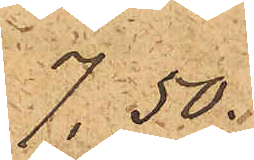7,50
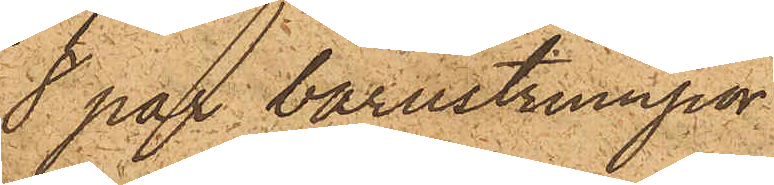8 par barnstrumpor
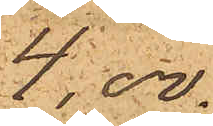4,00
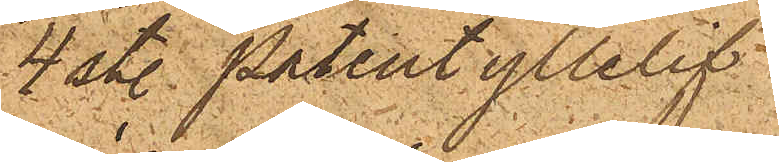4 st. patent yllelif
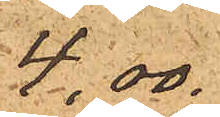4,00
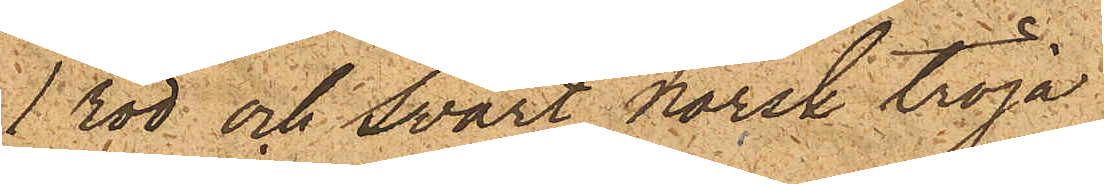1 röd och svart norsk tröja
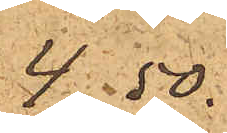4,50
